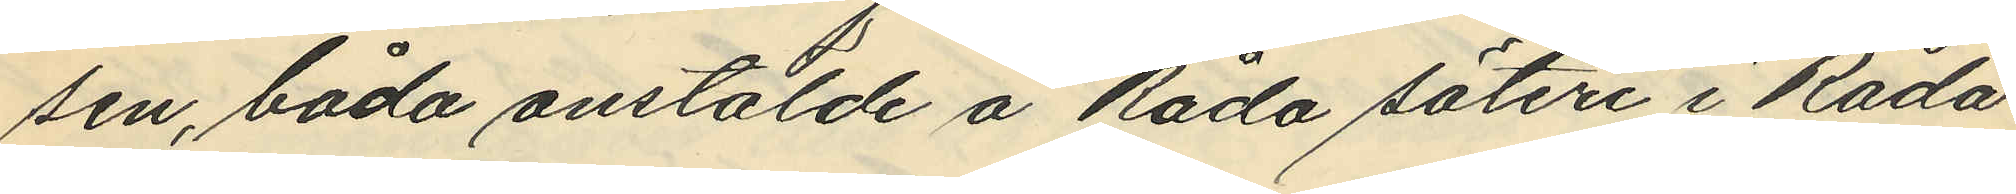sen, båda anstälde å Råda säteri i Råda
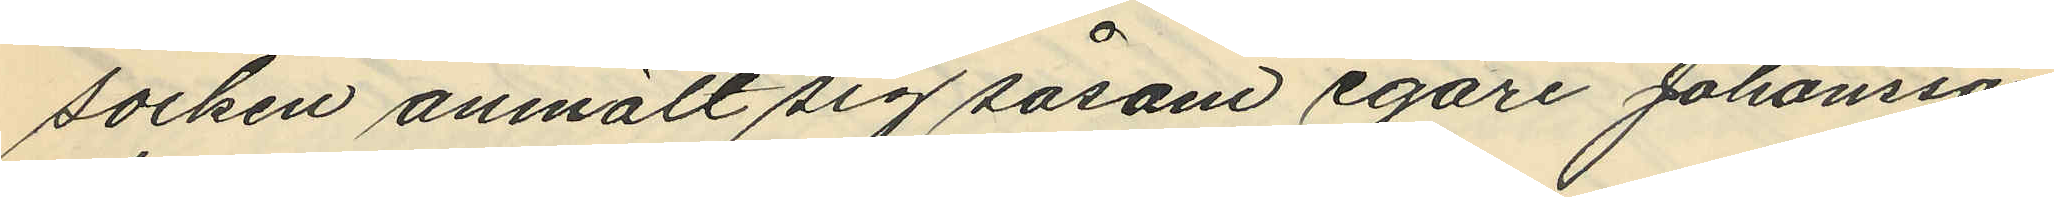socken anmält sig såsom egare Johansson
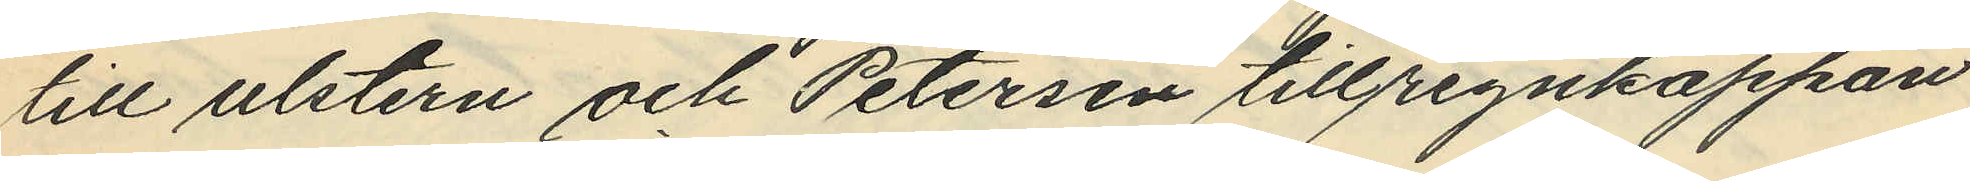till ulstern och Petersen till regnkappan
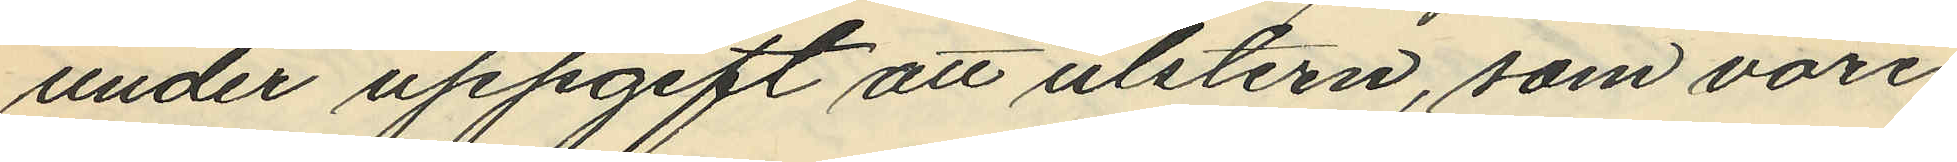under uppgift att ulstern, som vore
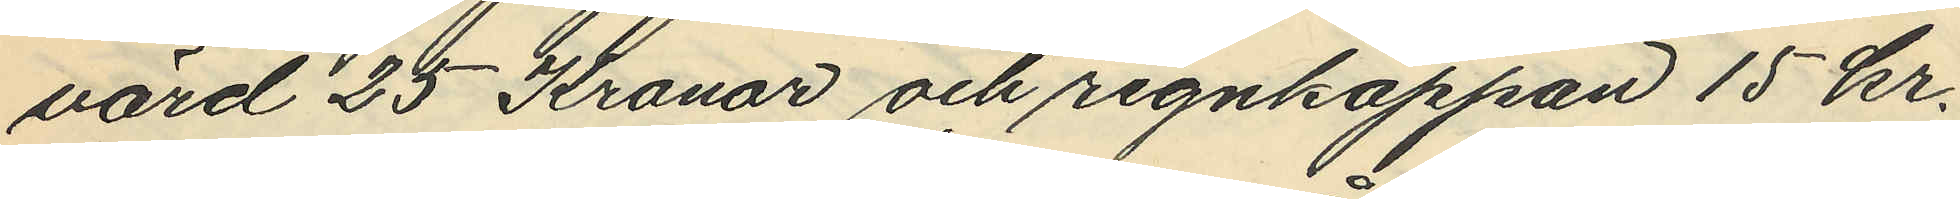värd 25 Kronor och regnkappan 15 kr.
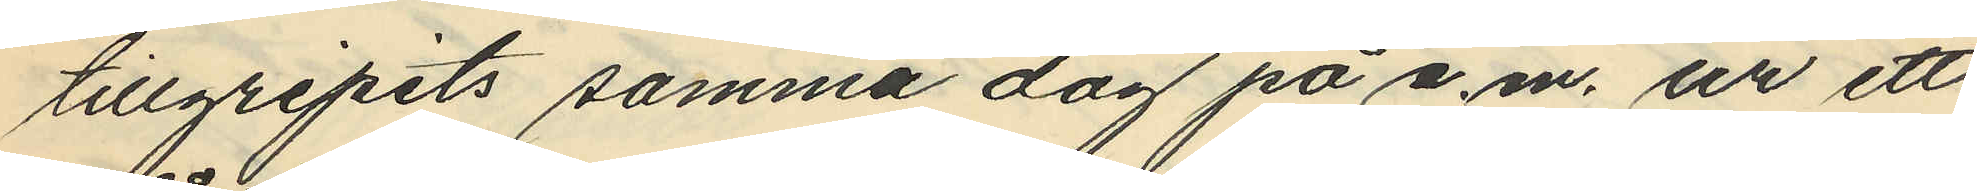tillgripits samma dag på e.m. ur ett
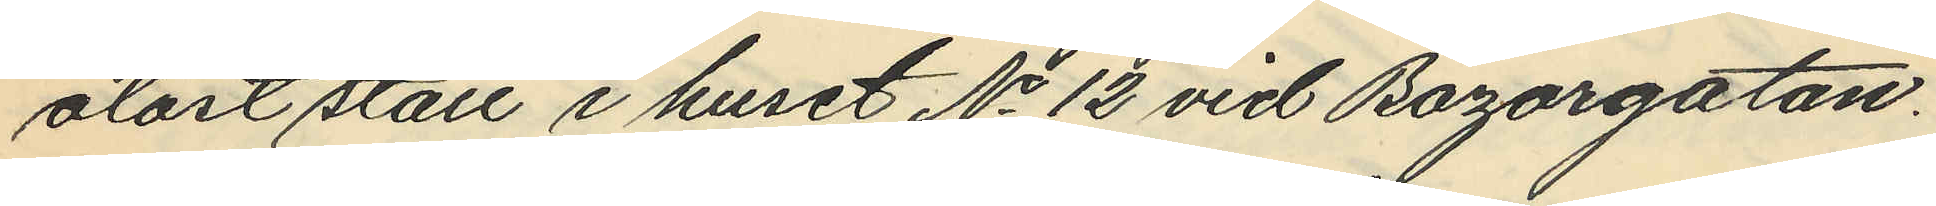olåst stall i huset No 12 vid Bazargatan.
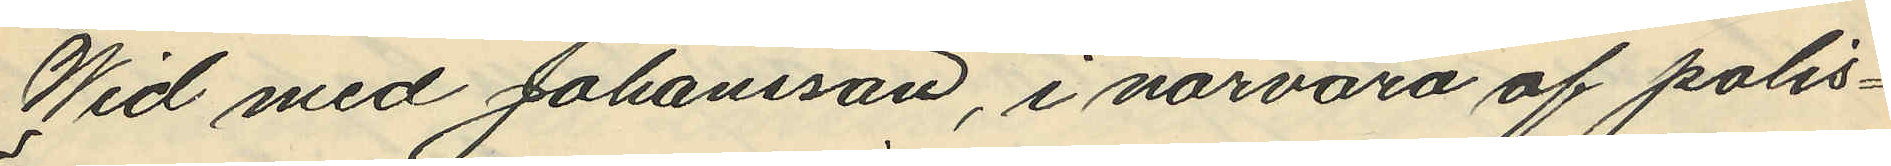Wid med Johansson, i närvaro af polis¬
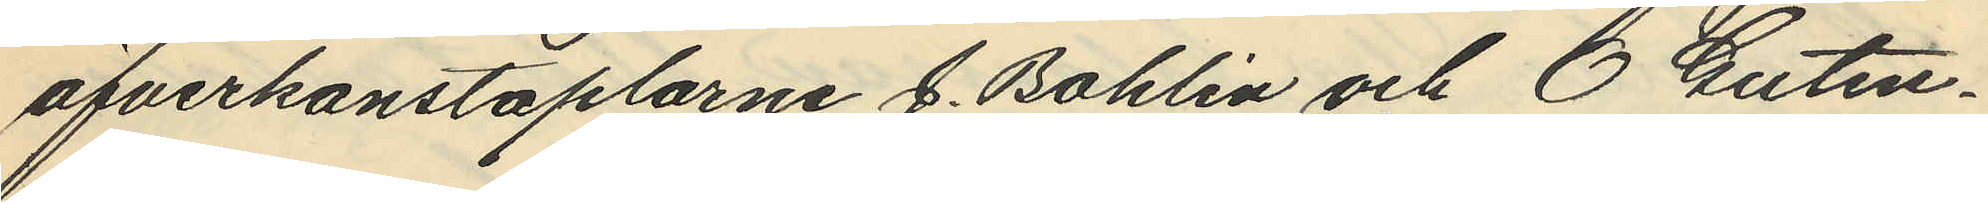öfverkonstaplarne G. Bohlin och E. Guten¬
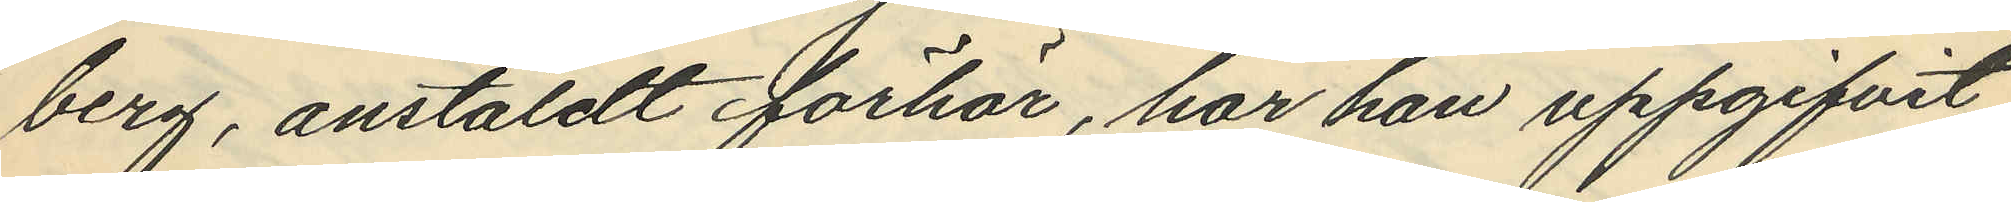berg, anstäldt förhör, har han uppgifvit
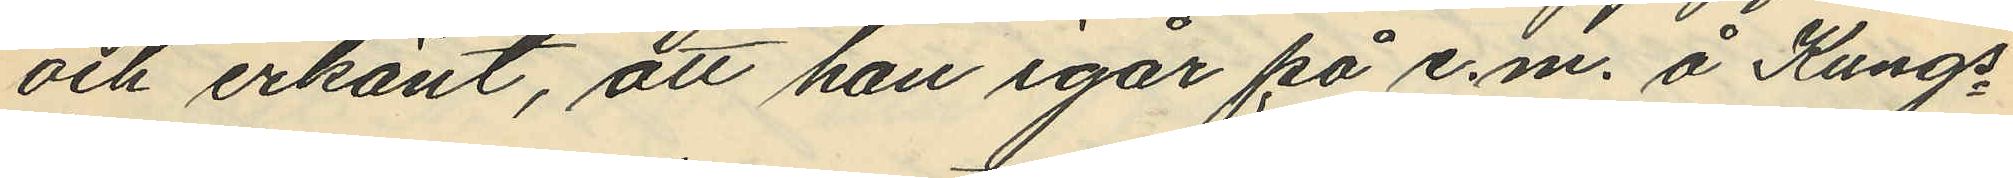och erkänt, att han igår på e.m. å Kungs¬
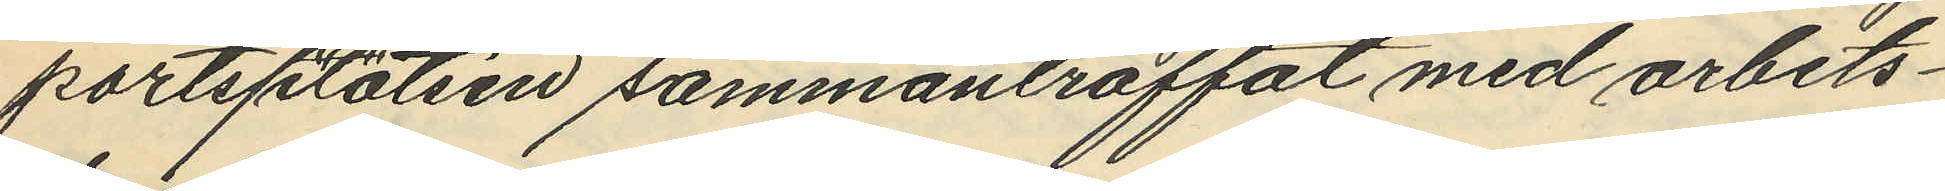portsplatsen sammantraffat med arbets¬
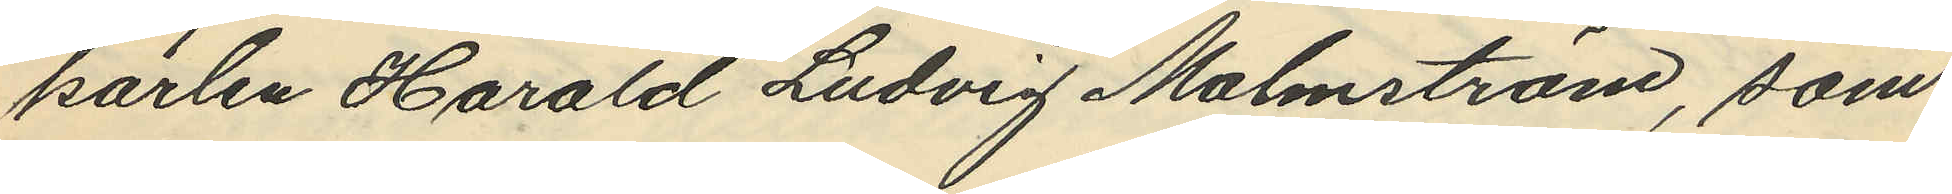karlen Harald Ludvig Malmström, som
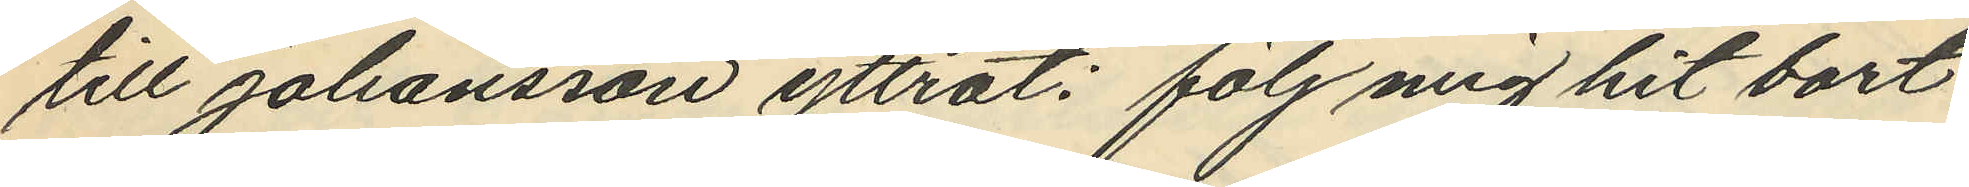till Johansson yttrat: "följ mig hit bort
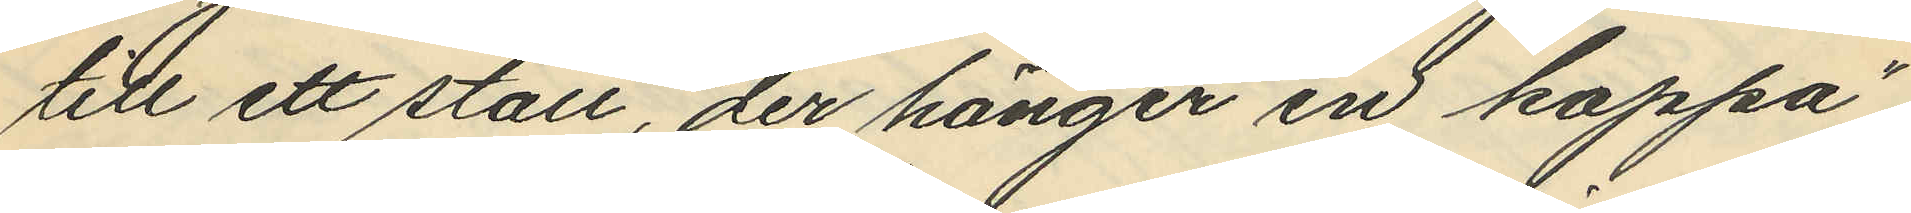till ett stall, der hänger en kappa",
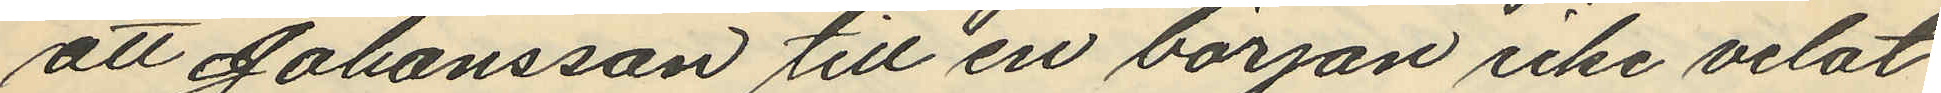att Johansson till en början icke velat
